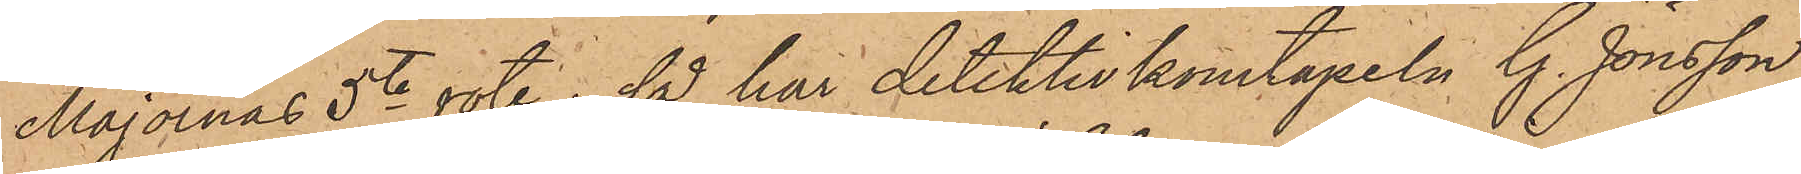Majornas 5te rote; så har detektivkonstapeln G. Jönsson
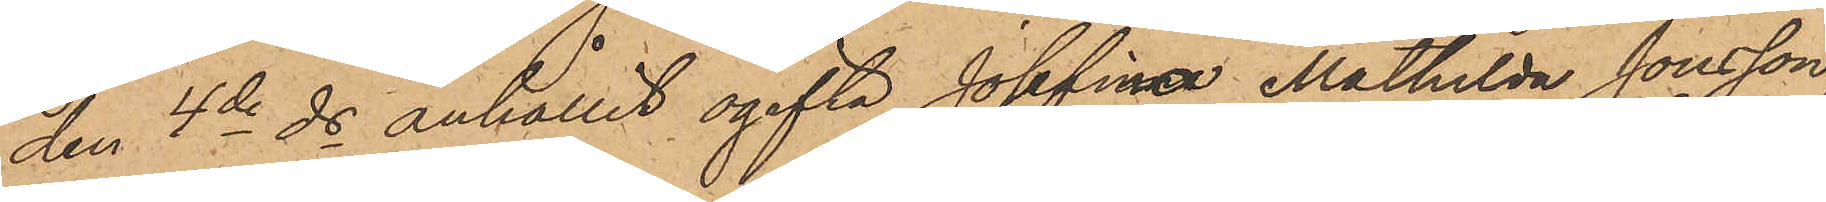den 4de ds anhållit ogifta Josefina Mathilda Jonsson,
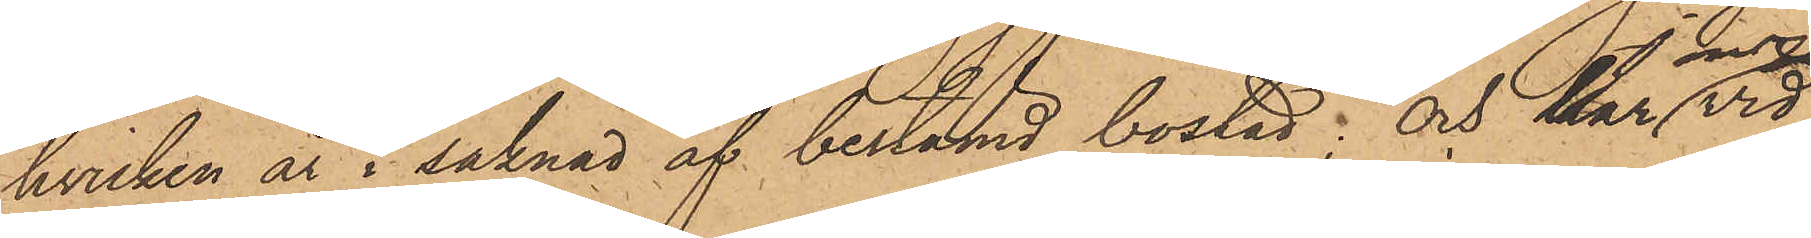hvilken är i saknad af bestämd bostad; och har Jonsson vid
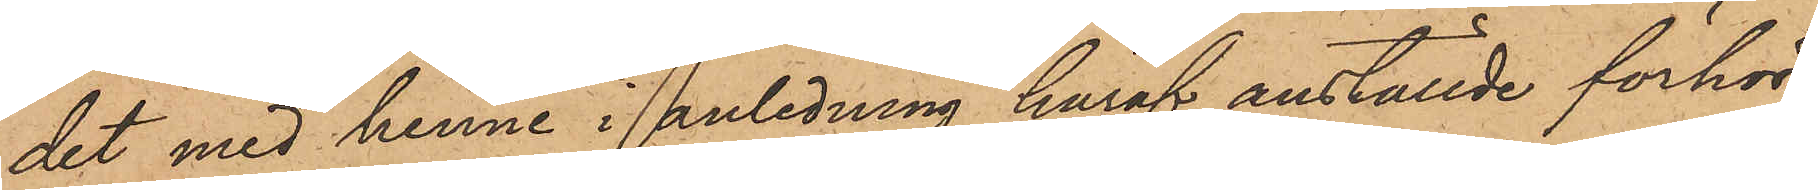det med henne i anledning häraf anställde förhör
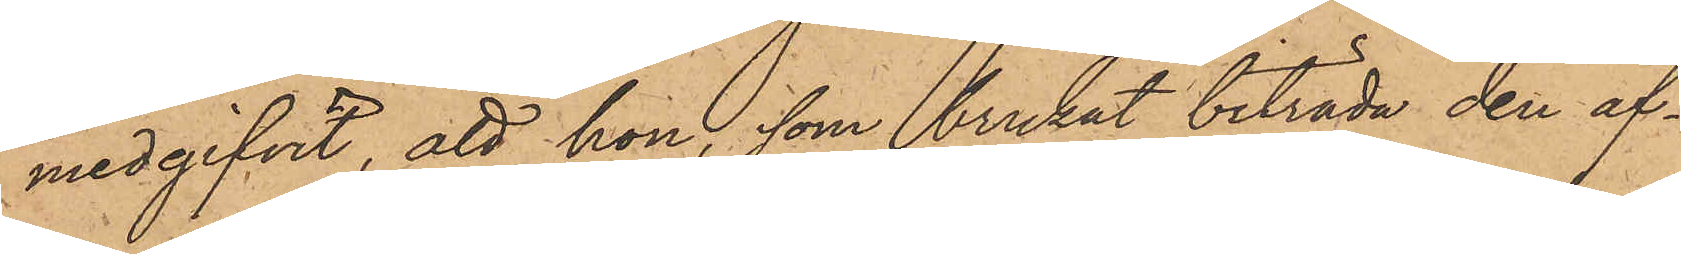medgifvit, att hon, som brukat biträda den af¬
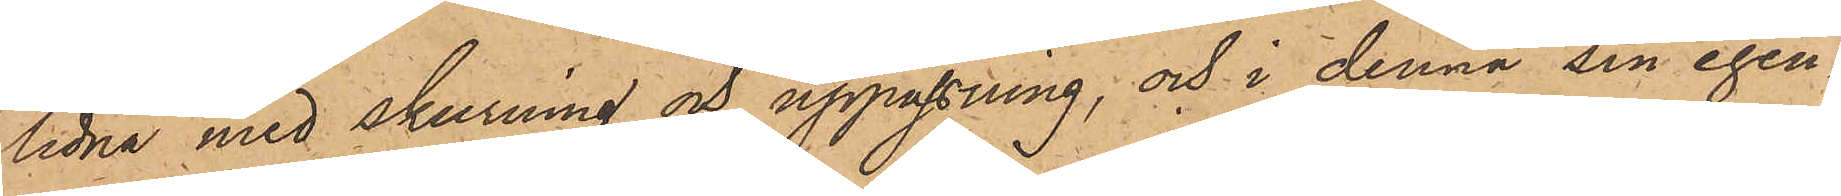lidna med skurning och uppassning,  och i denna sin egen¬
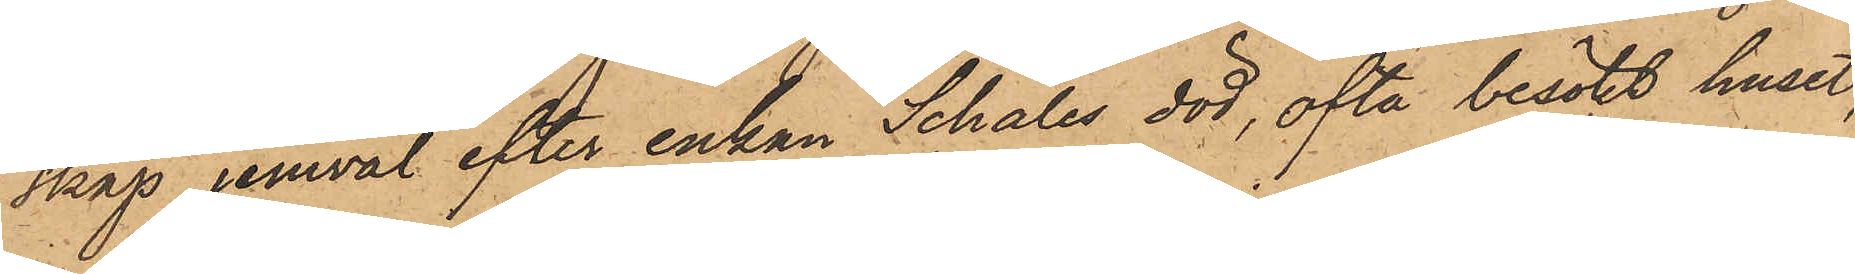skap jemväl efter enkan Schales död, ofta besökt huset,
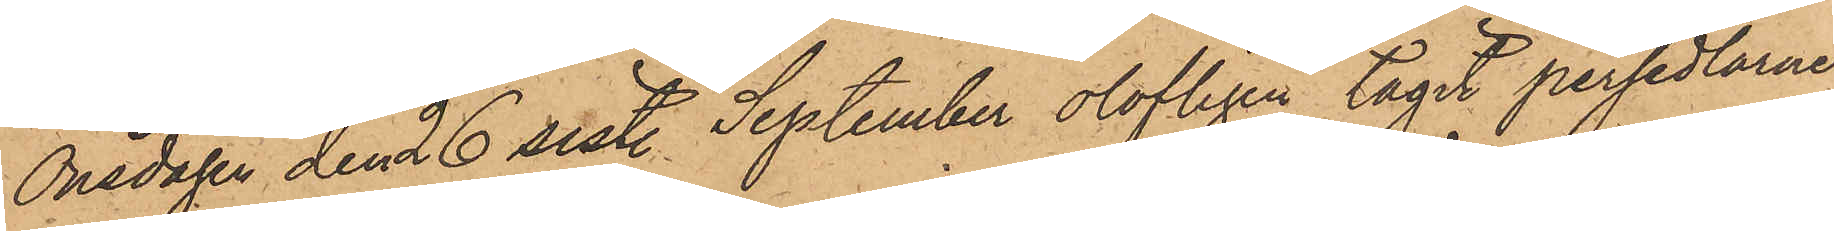Onsdagen den 26 sist. September olofligen tagit persedlarne
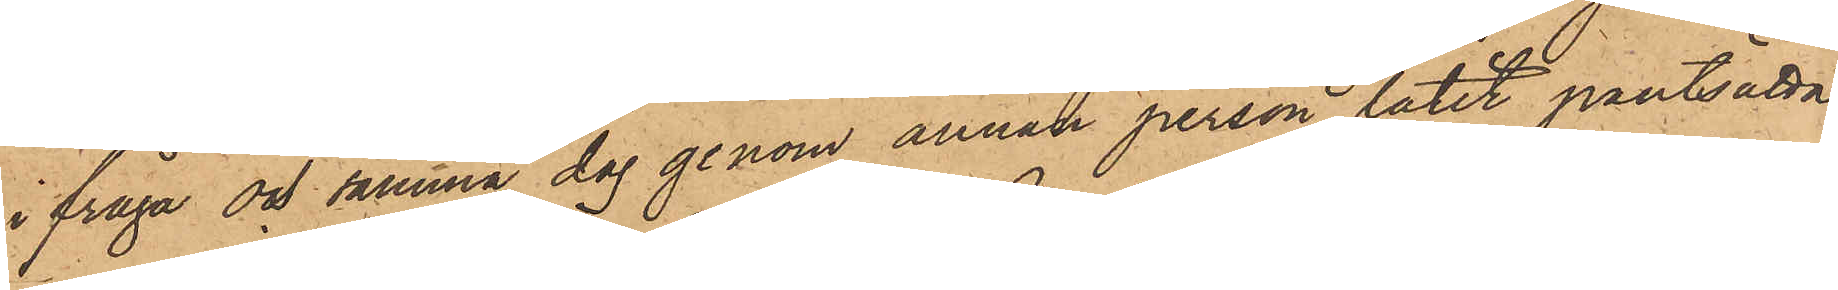ifråga och samma dag genom annan person låtit pantsätta
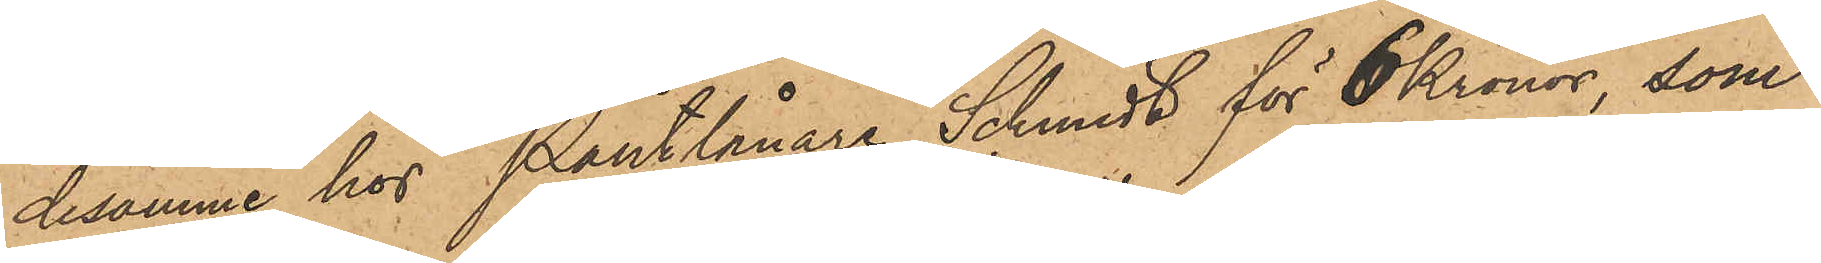desamme hos Pantlånare Schmidt för 6 Kronor, som
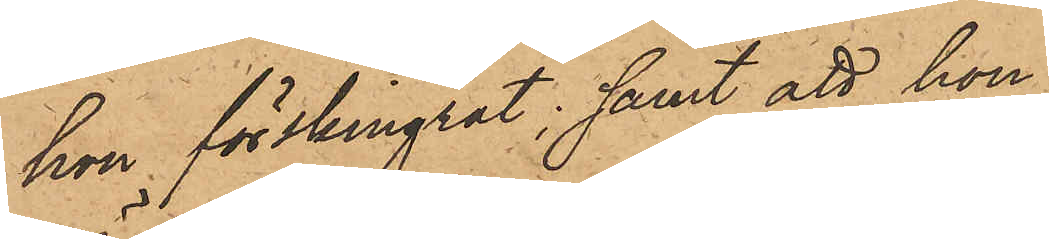hon förskingrat; samt att hon
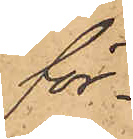för¬
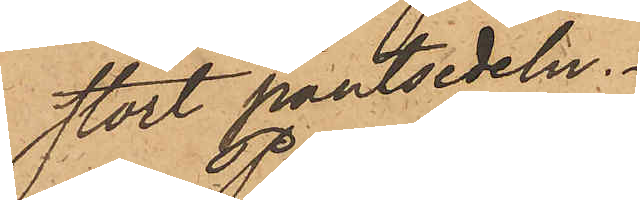stört pantsedeln.
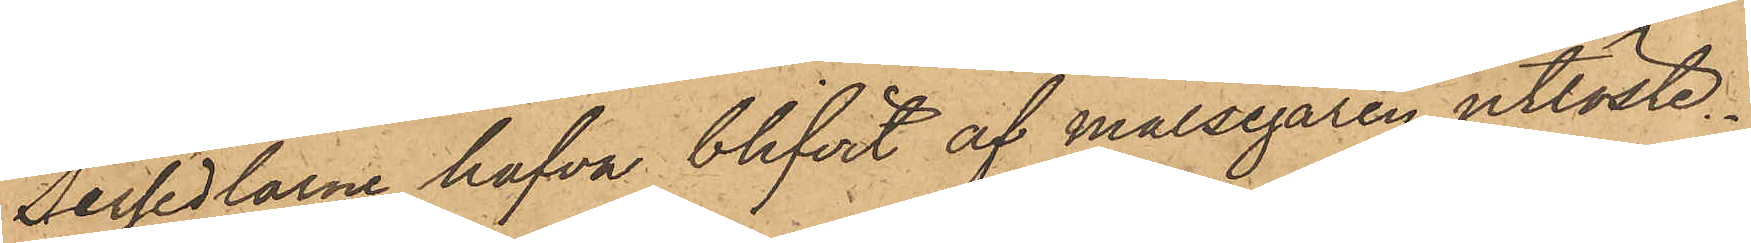Persedlarne hafva blifvit af målsegaren utlöste.
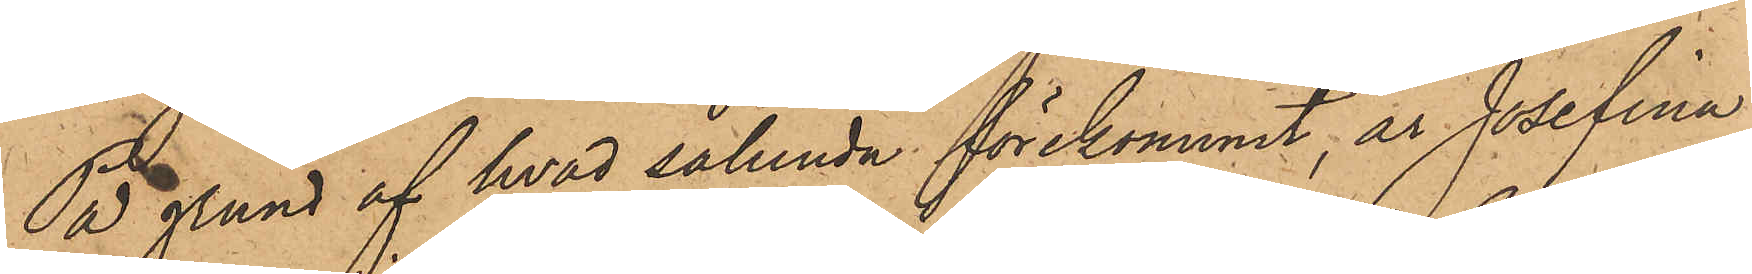På grund af hvad sålunda förekommit, är Josefina
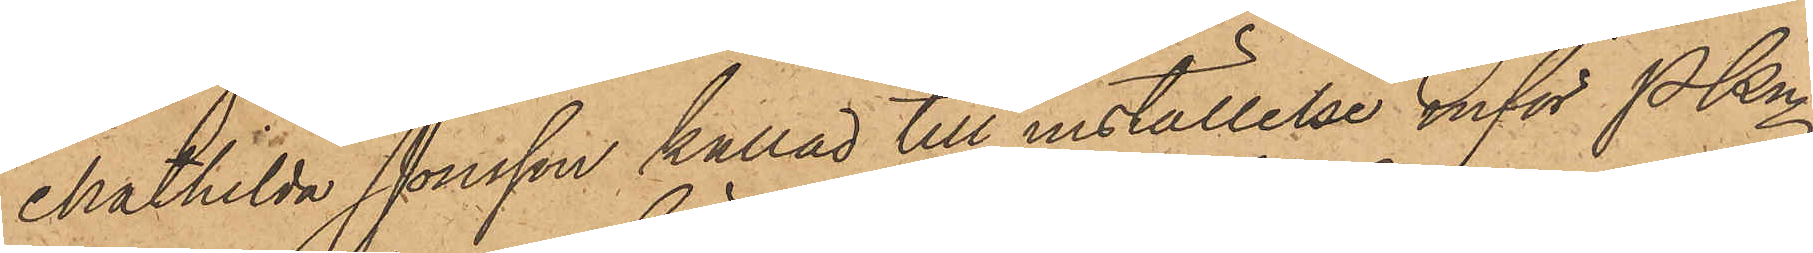Mathilda Jonsson kallad till inställelse inför PKn
